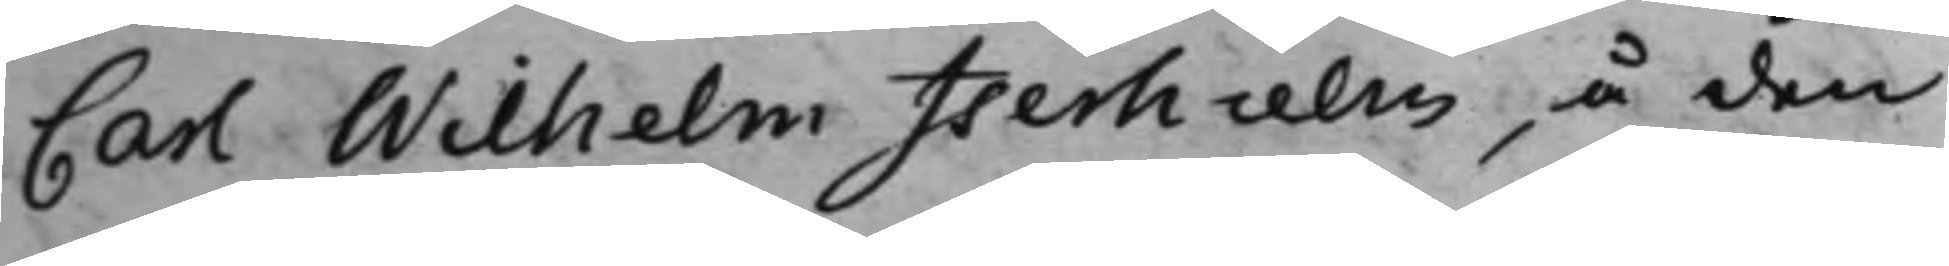Carl Wilhelm Iserhielm, å den
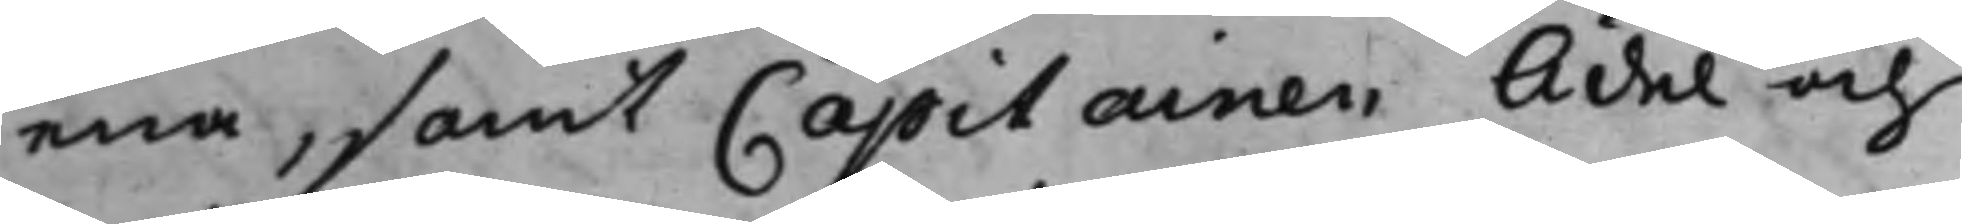ena, samt Capitainen Ädel och
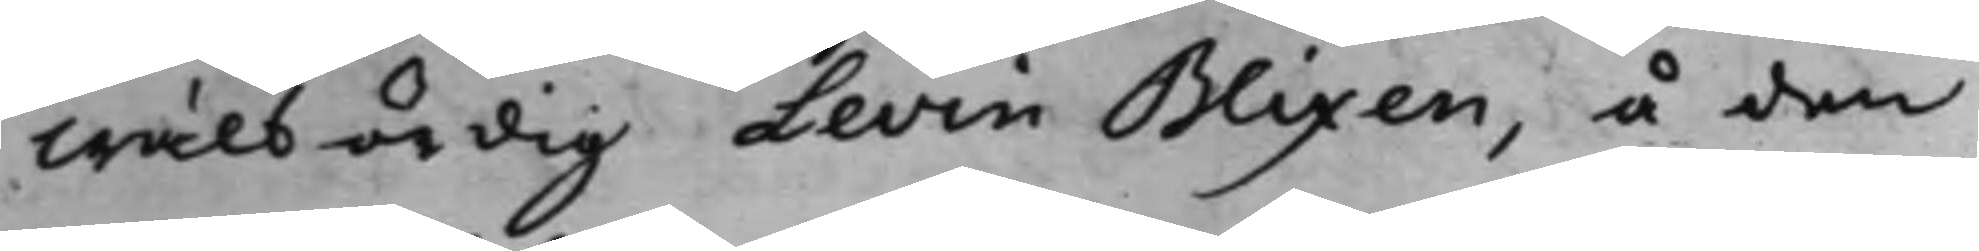Wälbördig Levin Blixen, å den
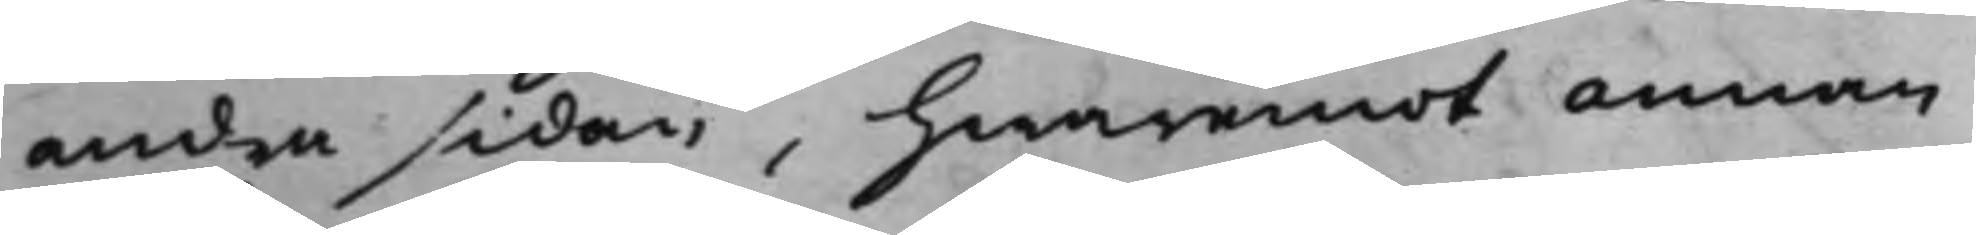andra sidan, hwaremot annan
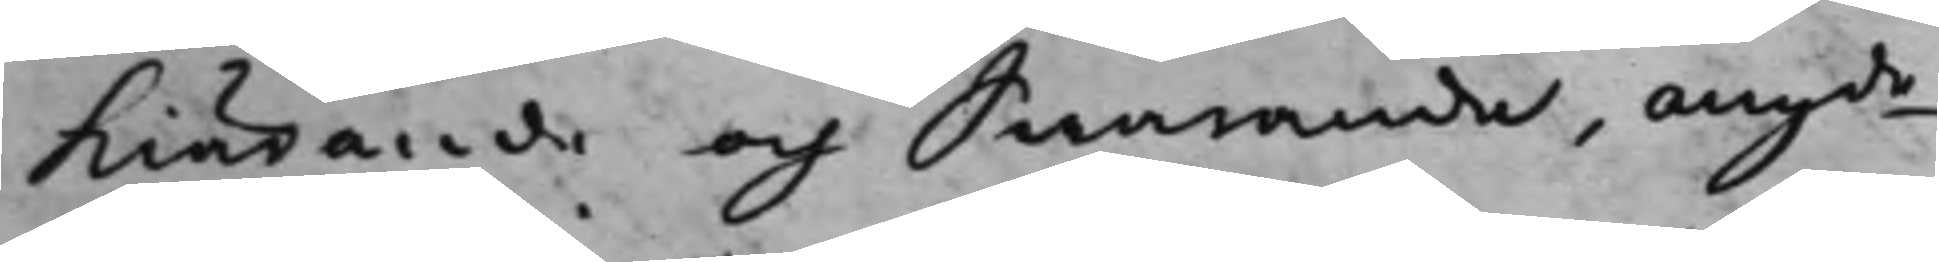Kiärande och Swarande, angde 
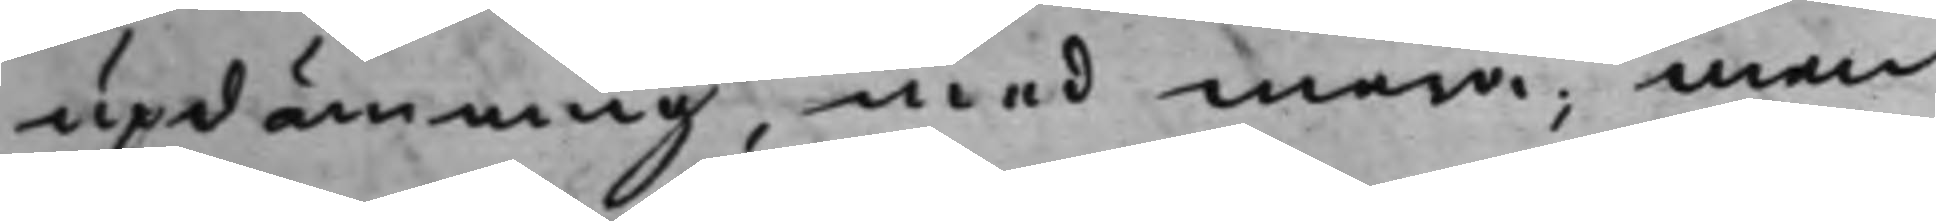updämning, med mera; men
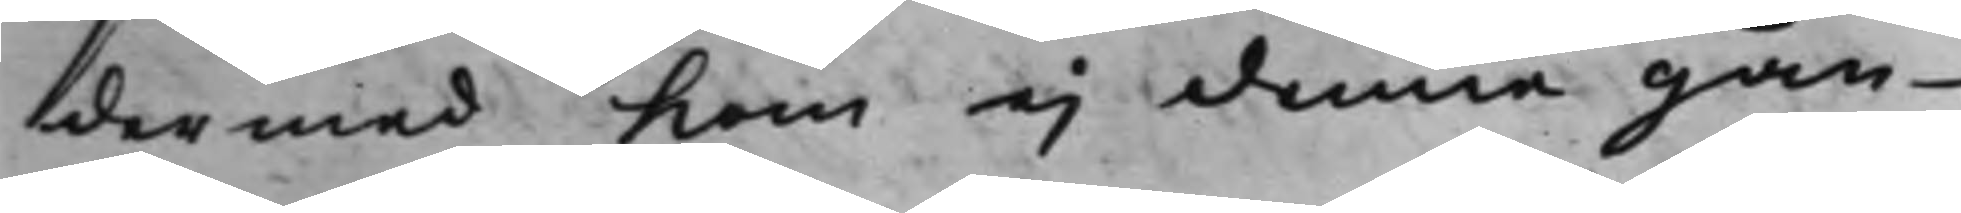dermed Kom ej denna gån¬
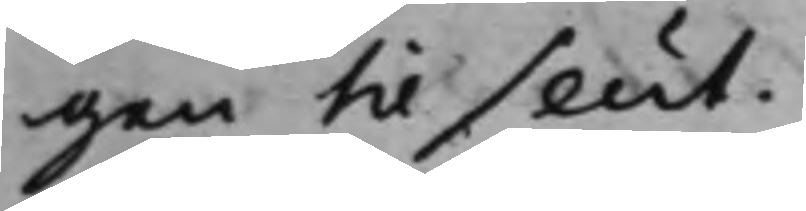gen til slut.
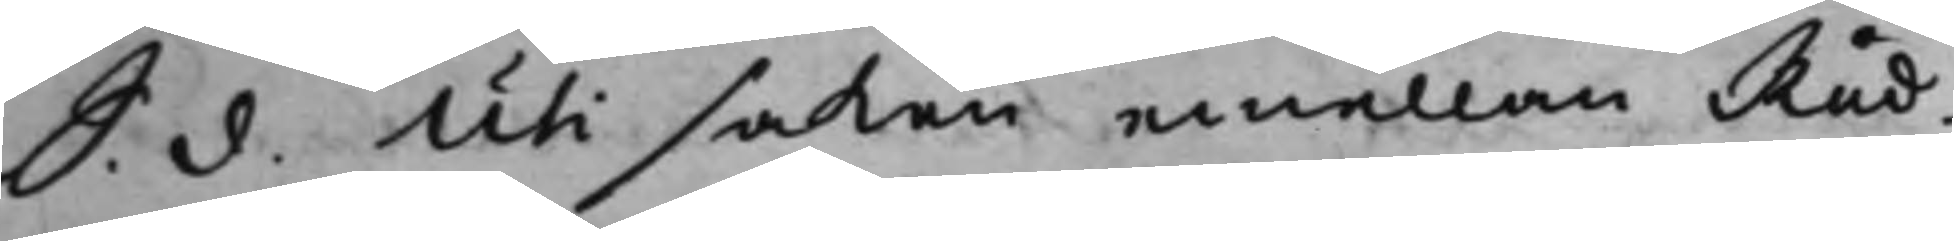S. d. Uti saken emellan Råd¬ 
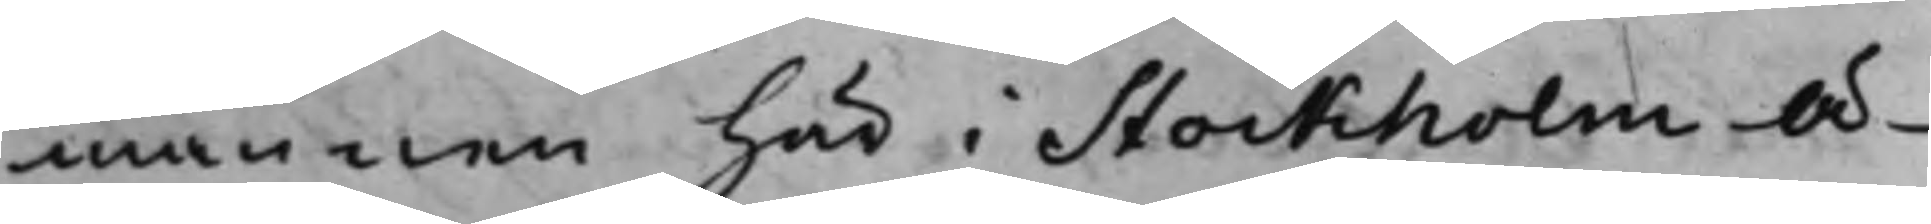mannen här i Stockholm Ä¬
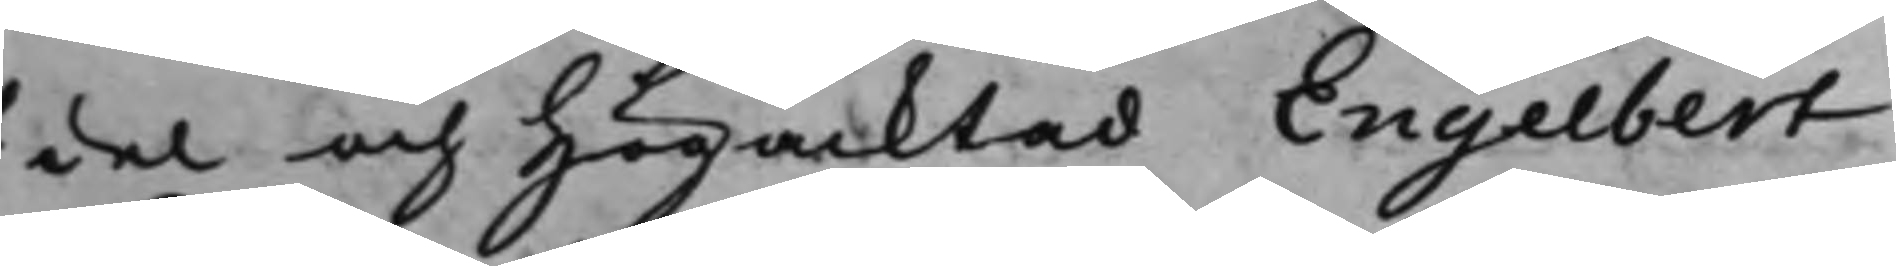del och Högacktad Engelbert
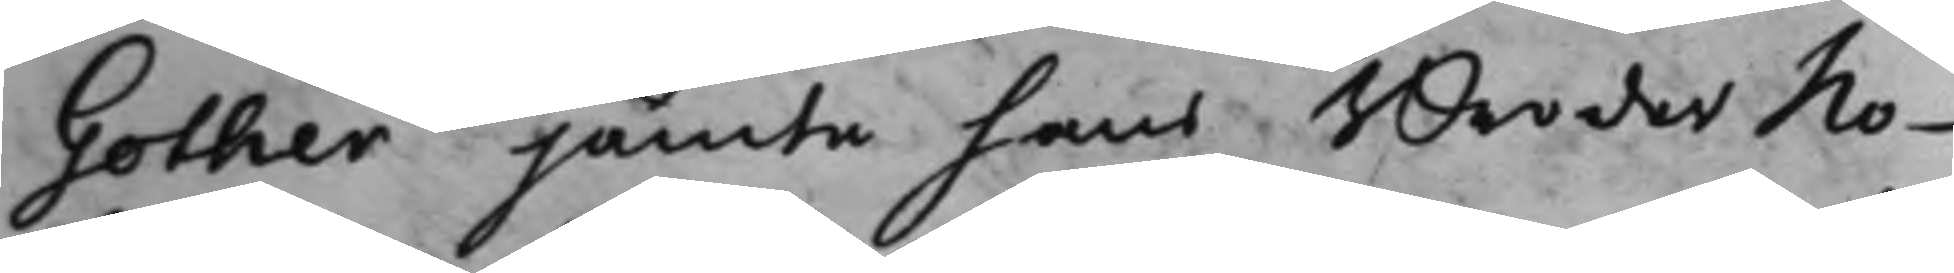Gother jämte hans Broder No¬
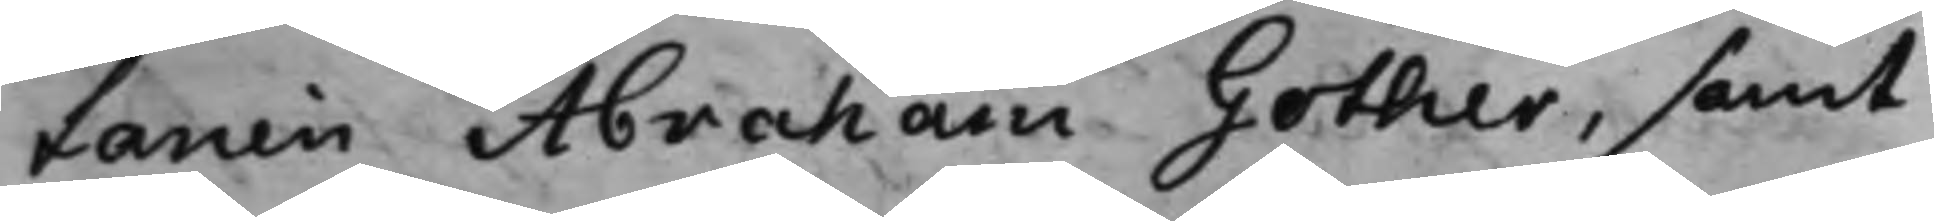tarien Abraham Gother, samt
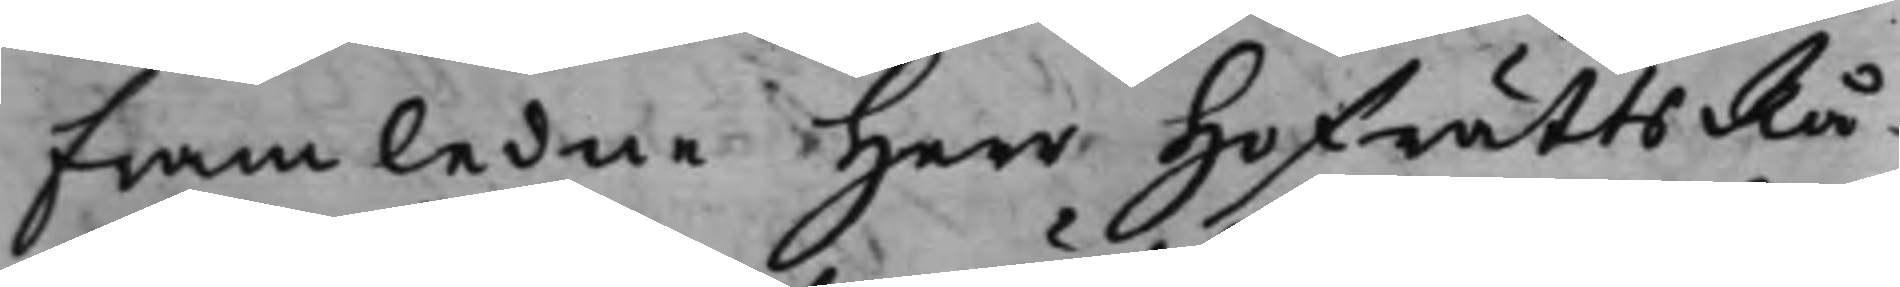Framledne Herr HofrättsRå¬
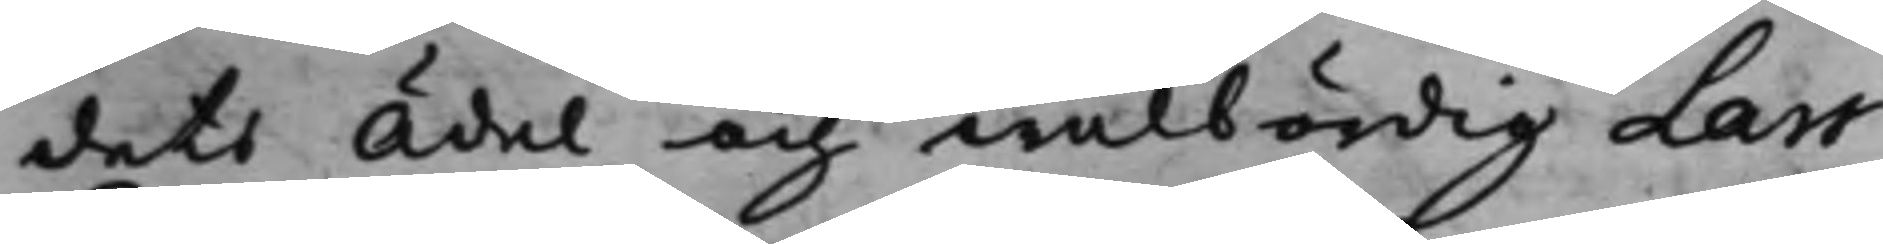dets Ädel och wälbördig Lars
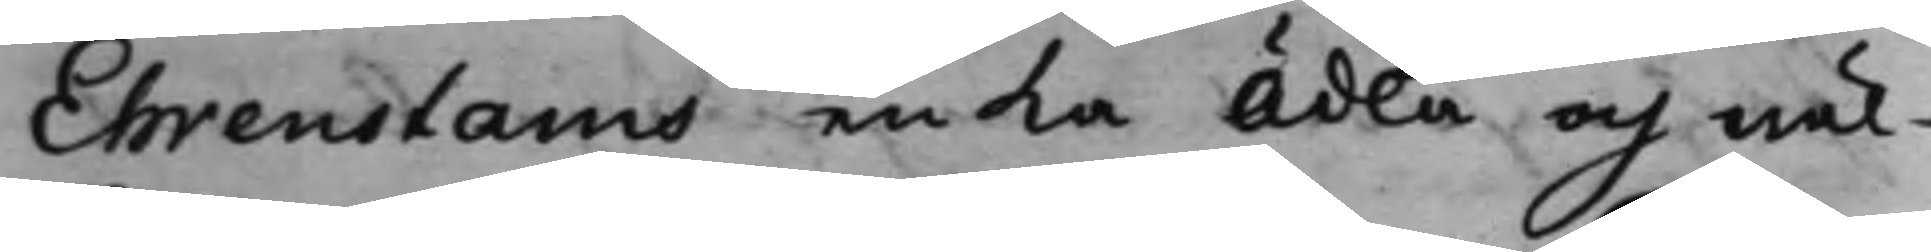Ehrenstams enka Ädla och wäl¬
